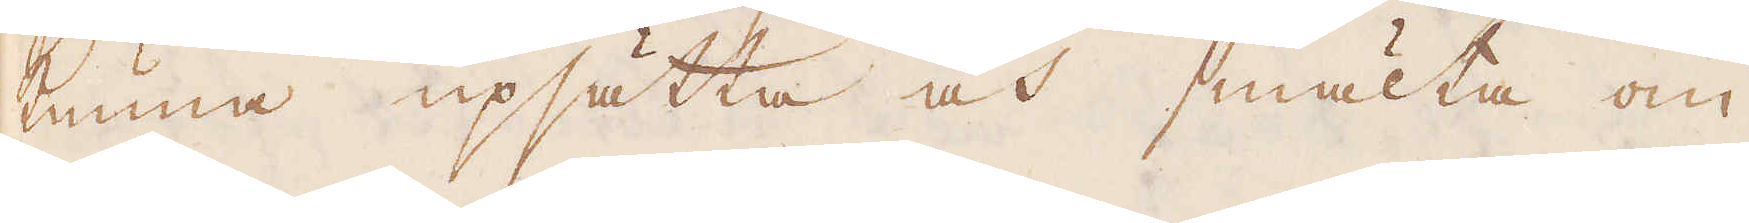kunna upsätta och smälta om
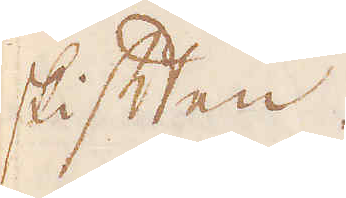skiften.
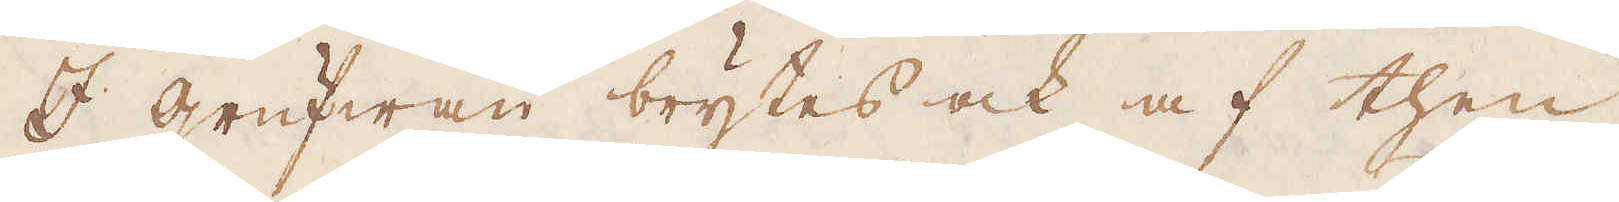I grufwan brytes ock af then
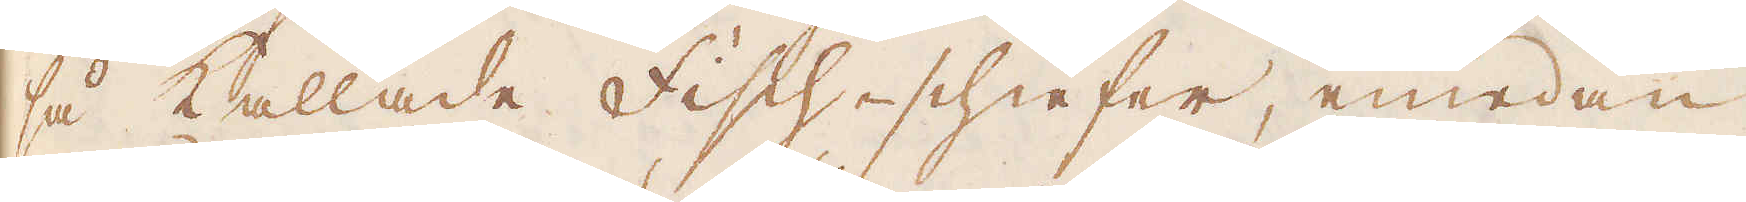så kallade Fisch-schiefer, emedan
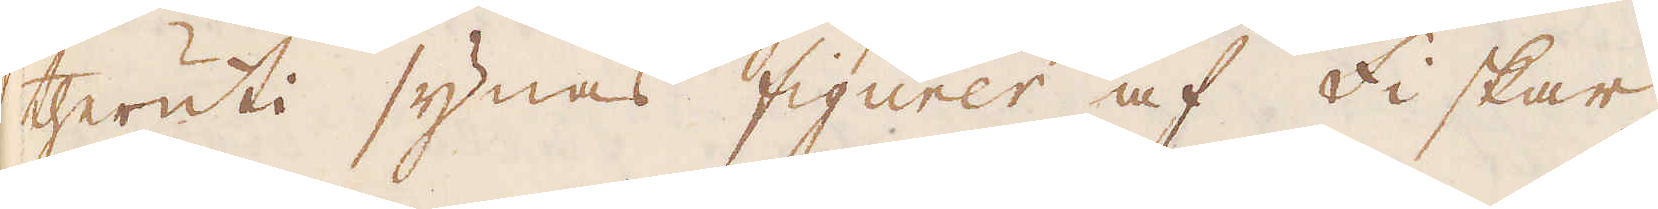theruti synas figurer af Fiskar
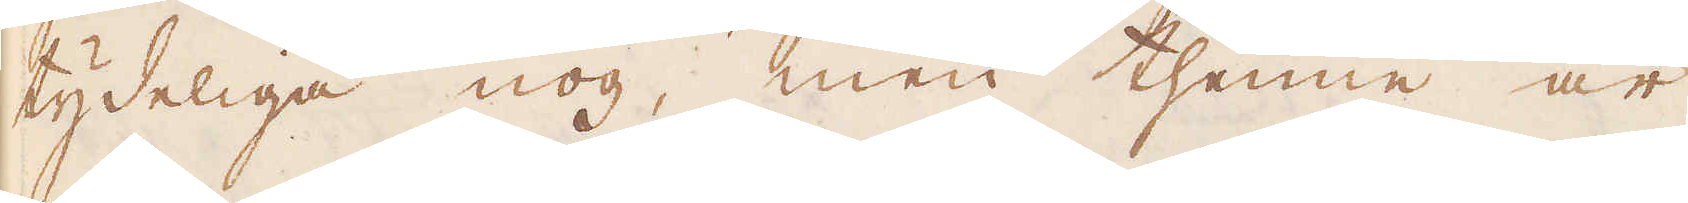tydeliga nog, men thenne är
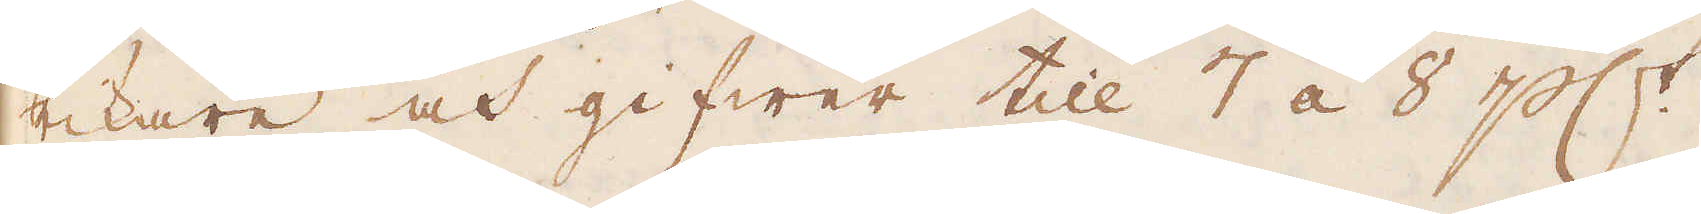rikare och gifwer till 7 á 8 p c:t.
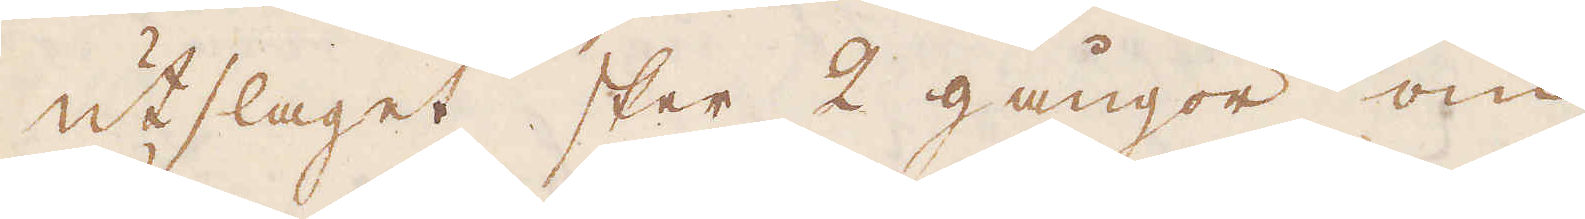Utslaget sker 2 gångor om
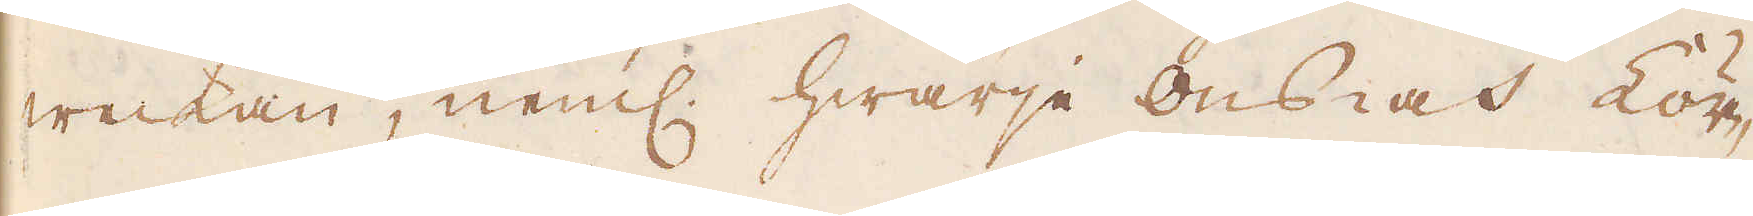weckan, neml. hwarje Ons- och Lör-
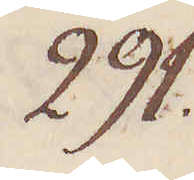291.
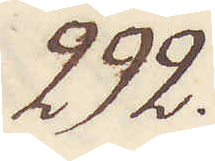292.
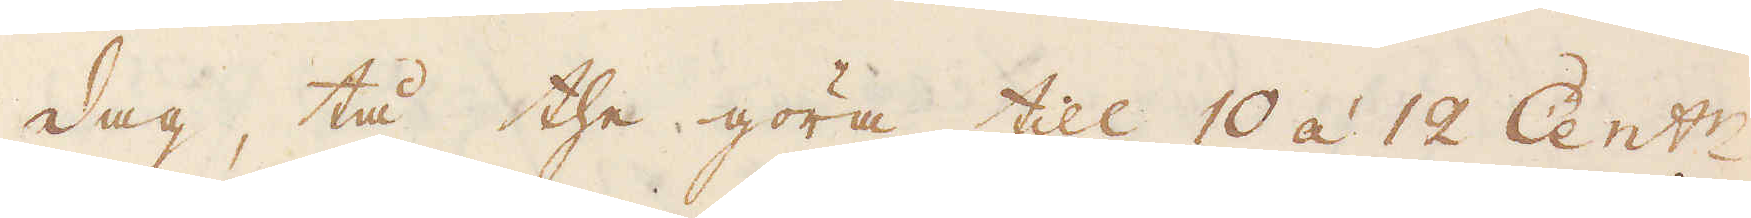dag, tå the göra till 10 á 12 Cent:r.
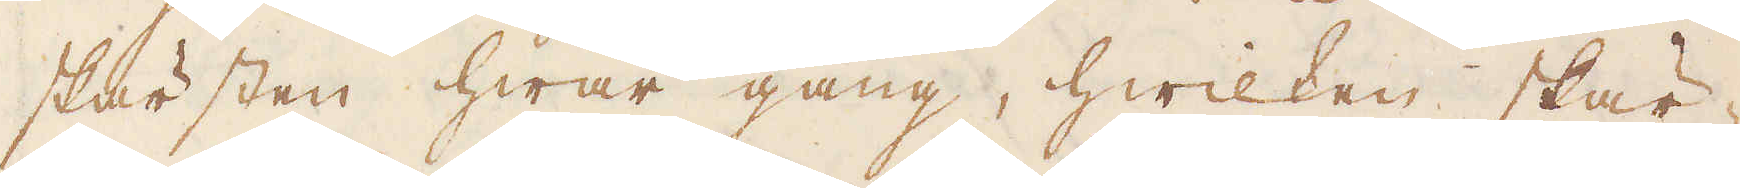skärsten hwar gång, hwilken skär-
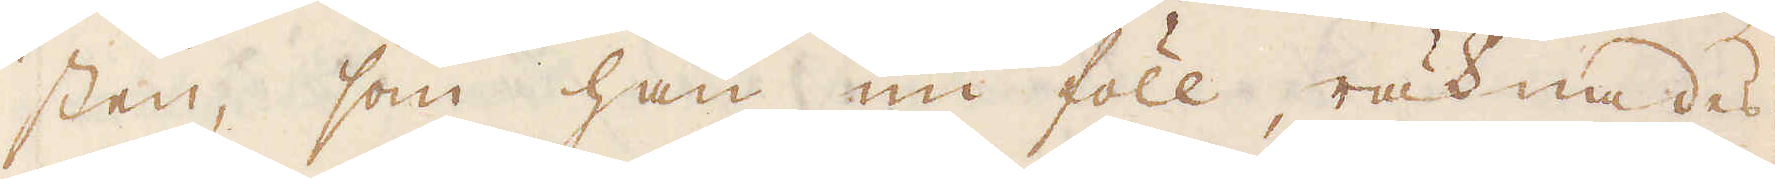sten, som han nu föll, räknades
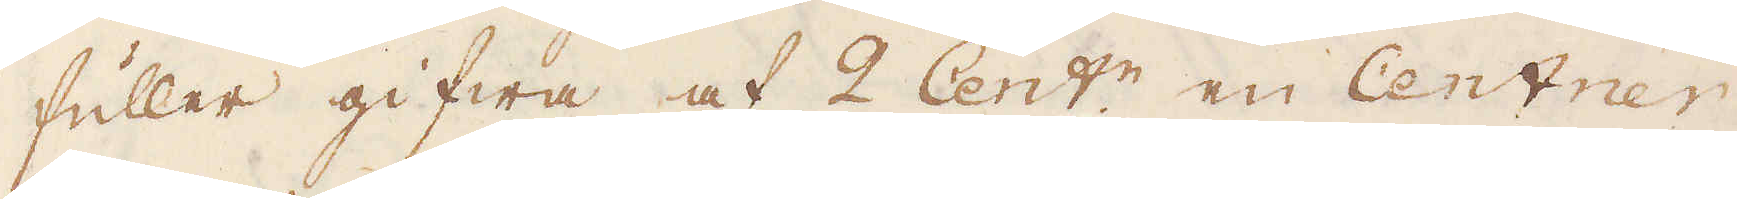fuller gifwa af 2 Cent:r en Centner
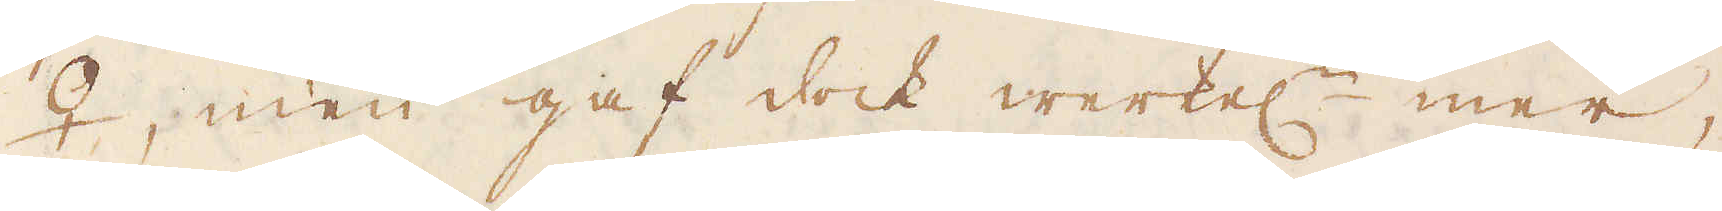♀, men gaf dock werkel:n mer,
